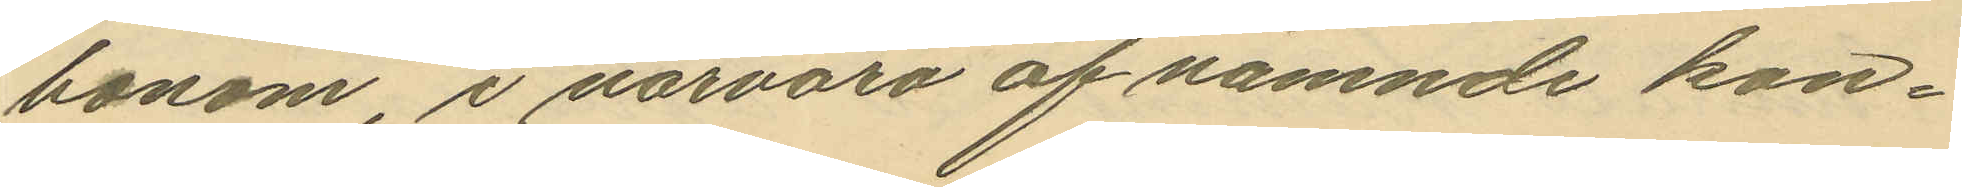honom, i närvaro af nämnde kon¬
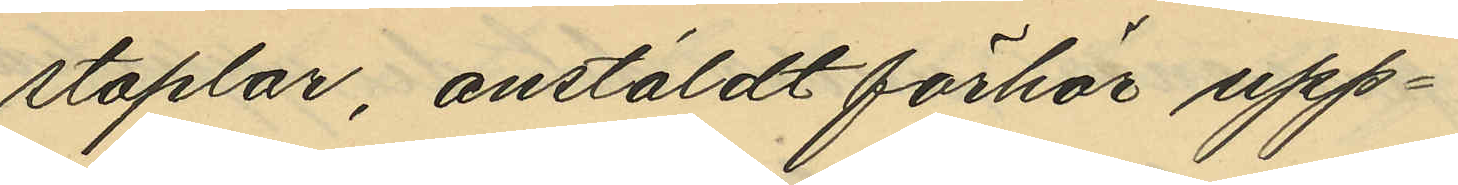staplar, anstäldt förhör upp¬
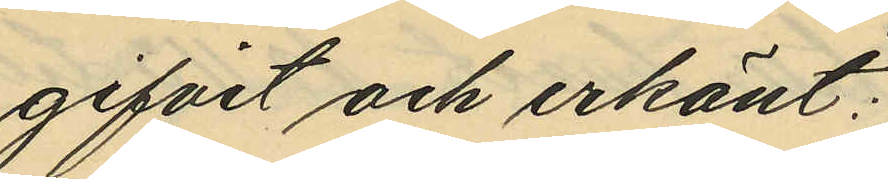gifvit och erkänt:
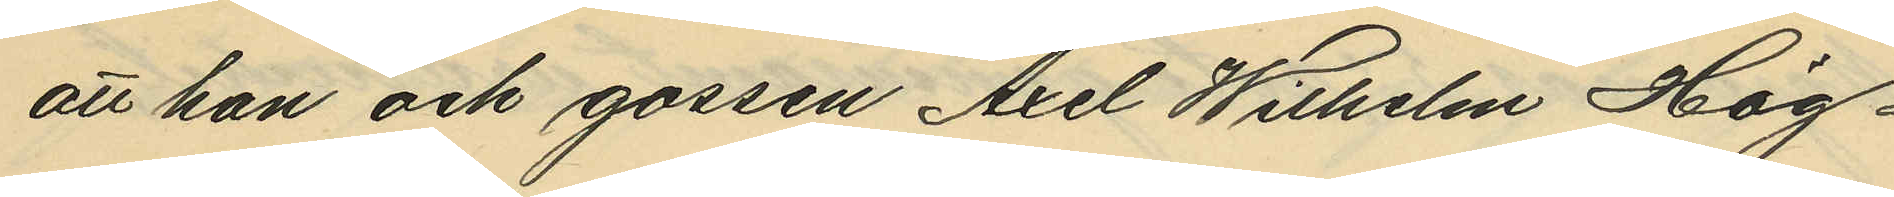att han och gossen Axel Wilhelm Hög¬
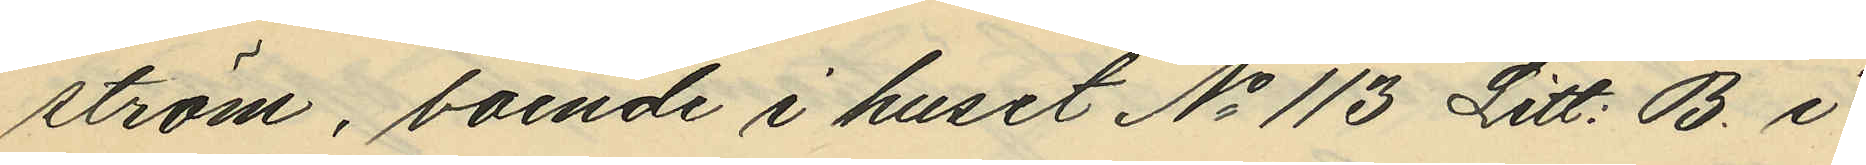ström, boende i huset No 113 Litt: B. i
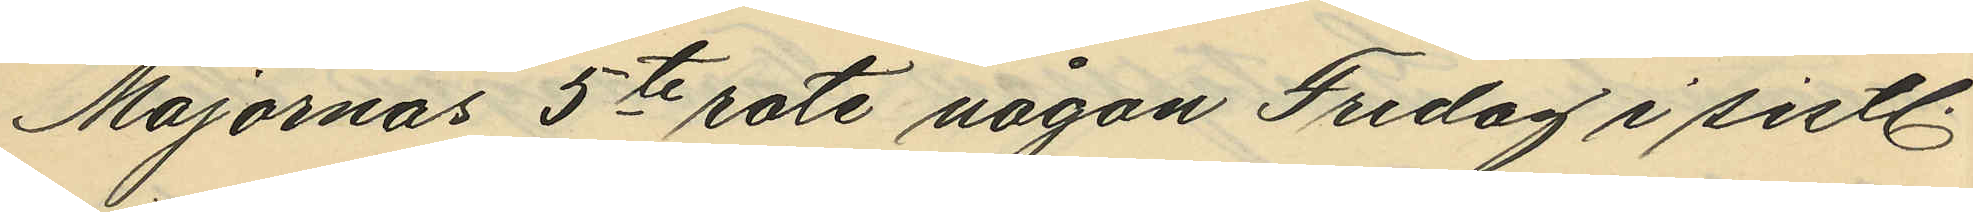Majornas 5te rote någon Fredag i sistl.
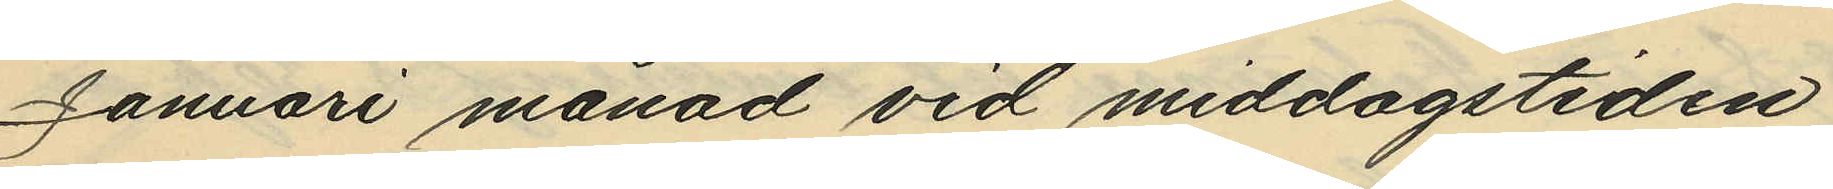Januari månad vid middagstiden
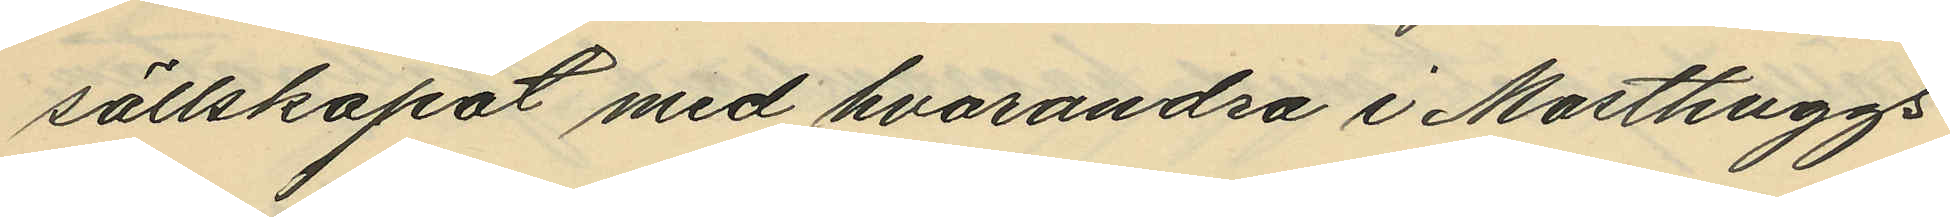sällskapat med hvarandra i Masthuggs¬
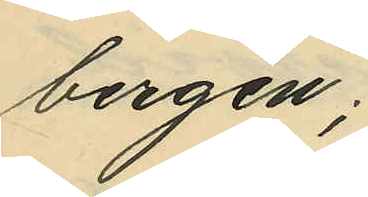bergen;
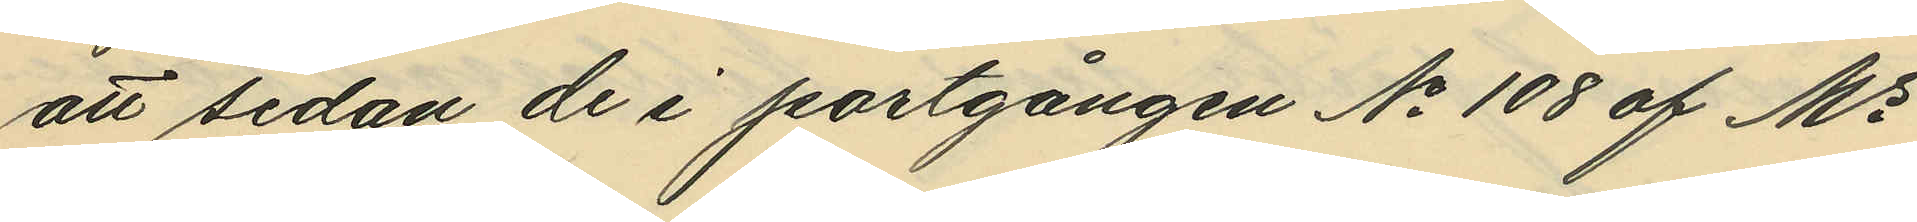att sedan de i portgången No 108 af Ms
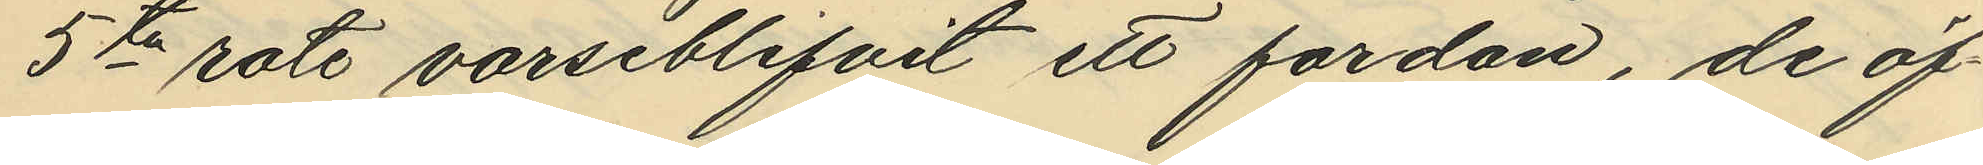5te rote varseblifvit ett fordon, de öf¬
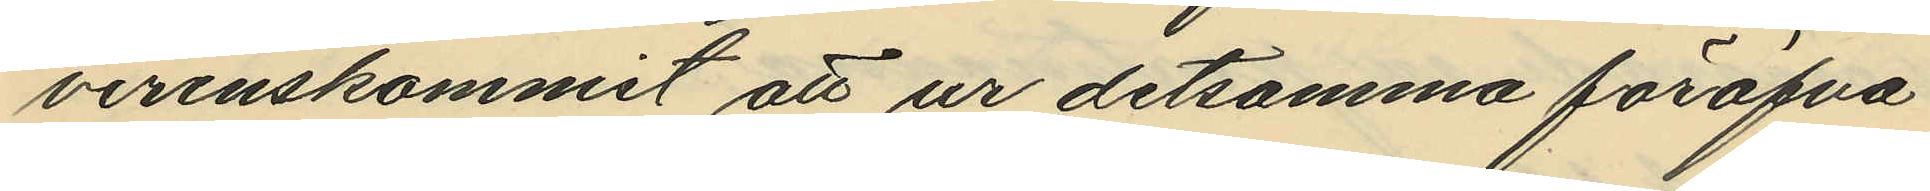verenskommit att ur detsamma föröfva
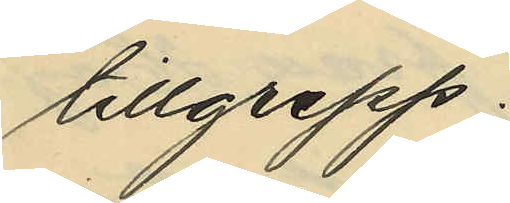tillgrepp;
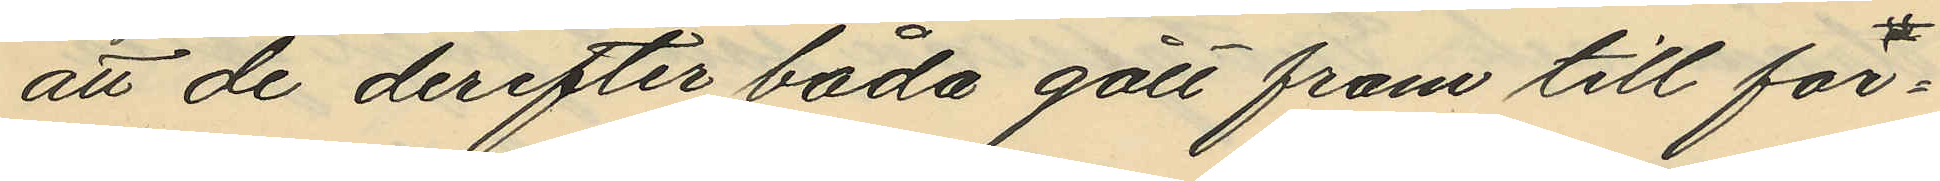att de derefter båda gått fram till for¬
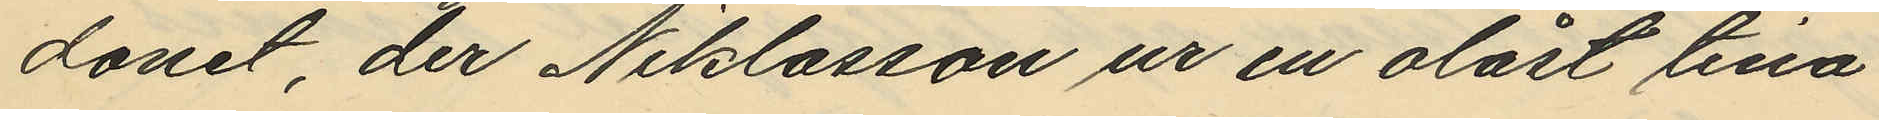donet, der Niklasson ur en olåst tina
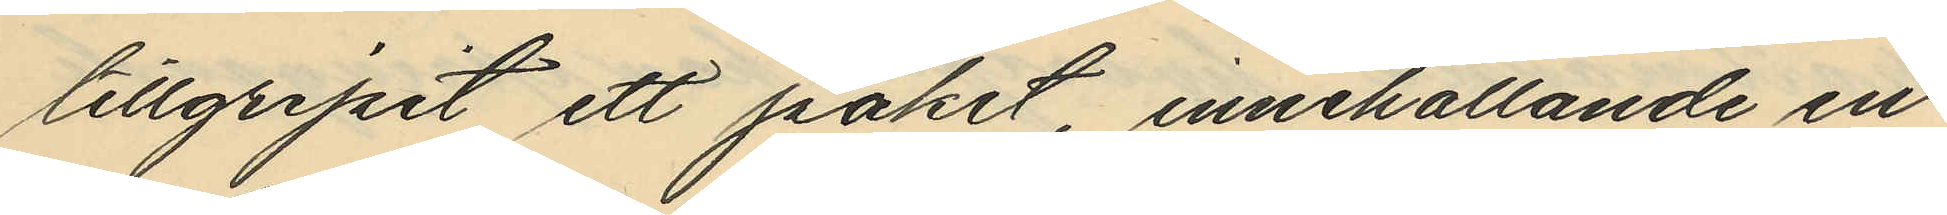tillgripit ett paket, innehållande en
